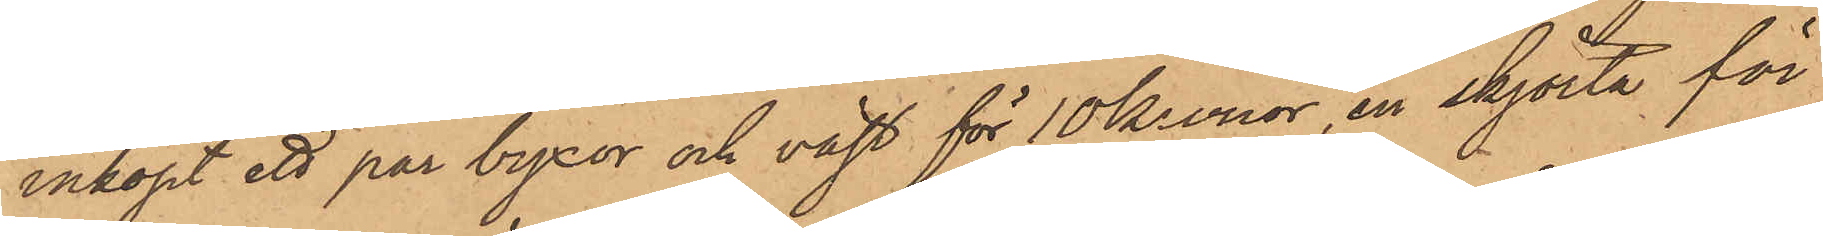inköpt ett par byxor och väst för 10 Kronor, en skjorta för
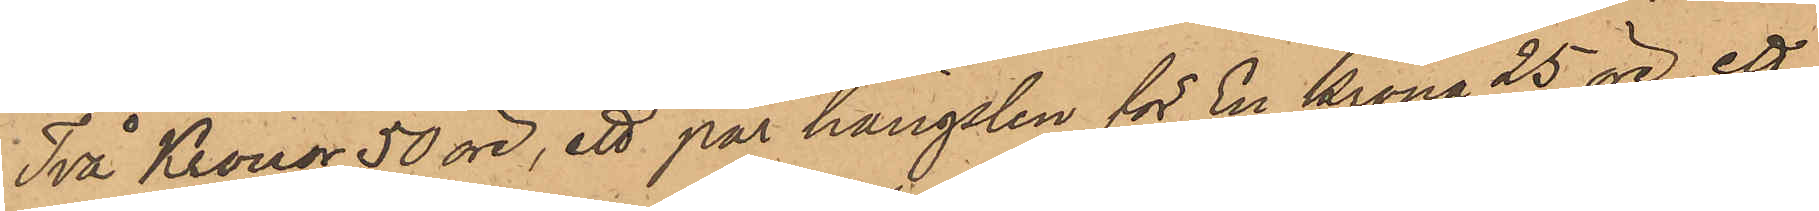Två Kronor 50 öre, ett par hängslen för En krona 25 öre, ett
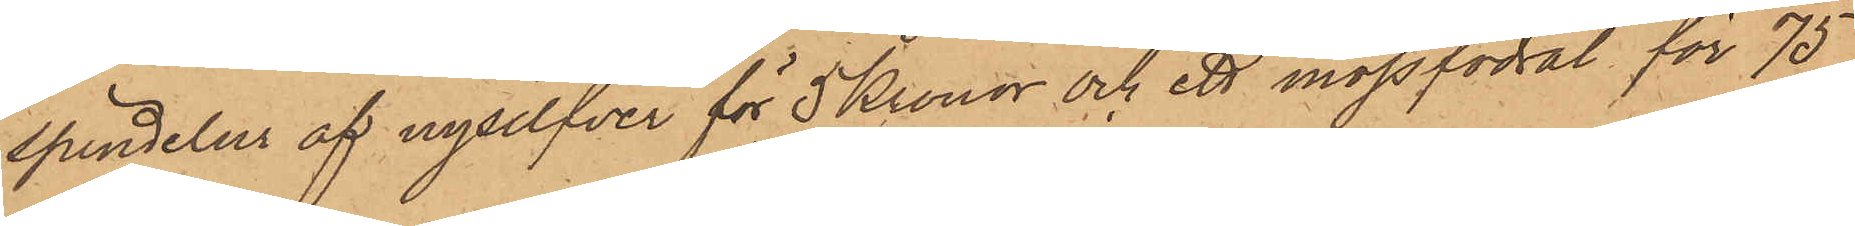spindelur af nysilfver för 5 Kronor och ett mössfodral för 75
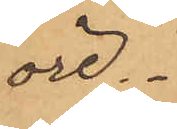öre
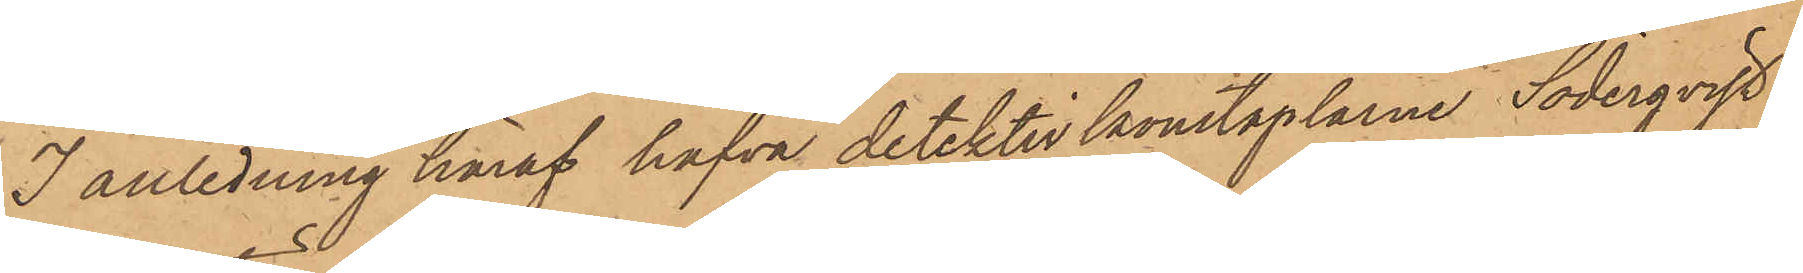I anledning häraf hafva detektivkonstaplarne Söderqvist
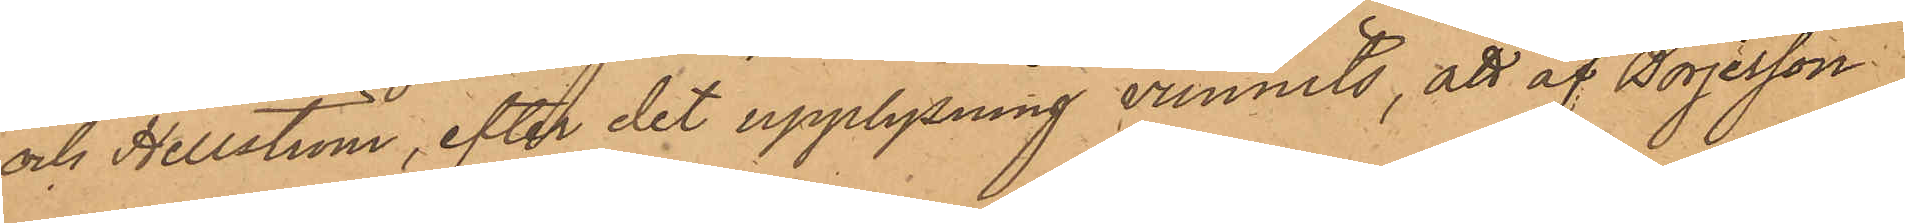och Hellström, efter det upplysning vunnits, att af Börjesson:
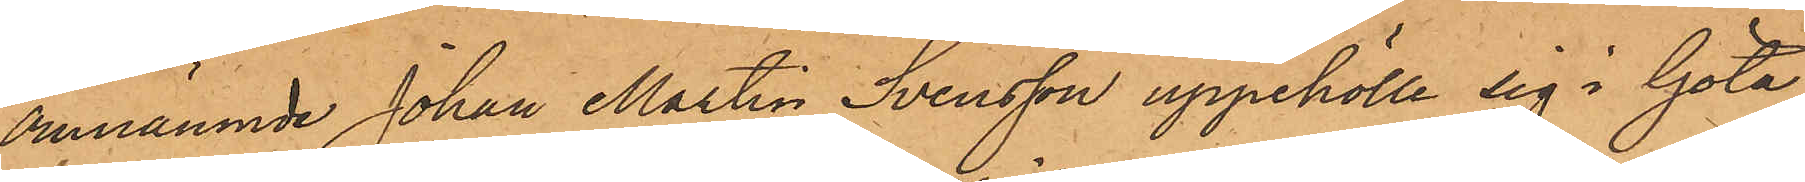omnämnde Johan Martin Svensson uppehölle sig i Göta
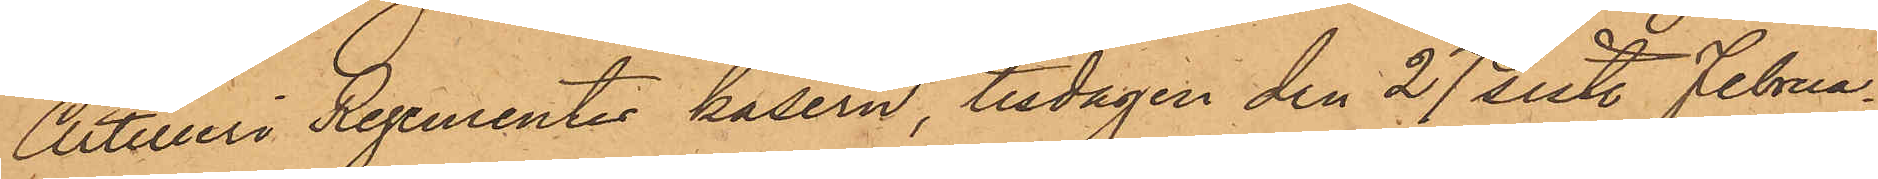Artilleri Regementes kasern, tisdagen den 27 sistl. Februa¬
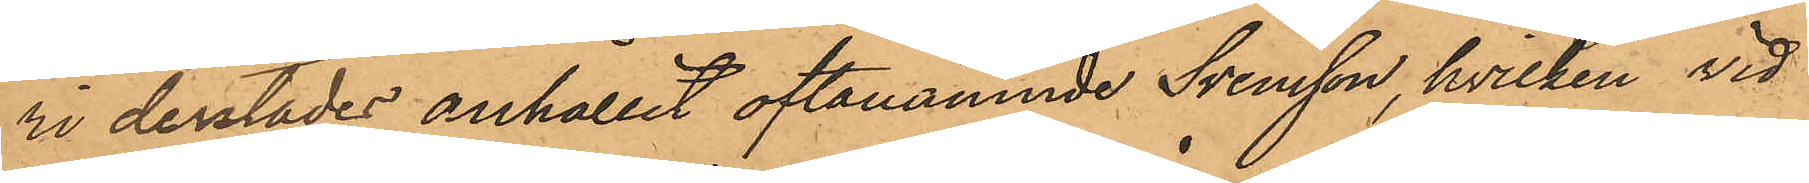ri derstädes anhållit oftanämnde Svensson, hvilken vid
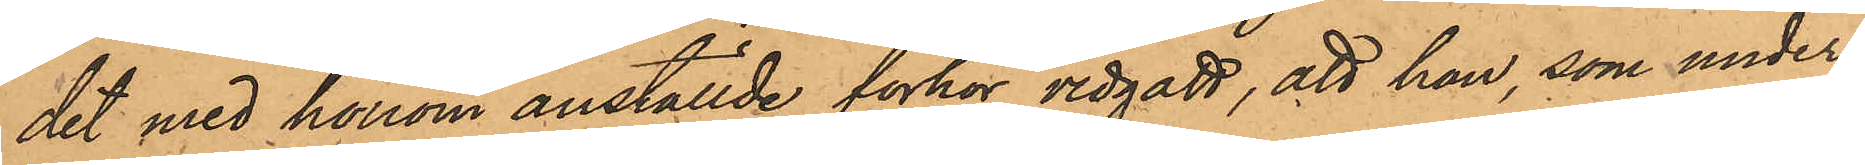det med honom anställde förhör vidgått, att han, som under
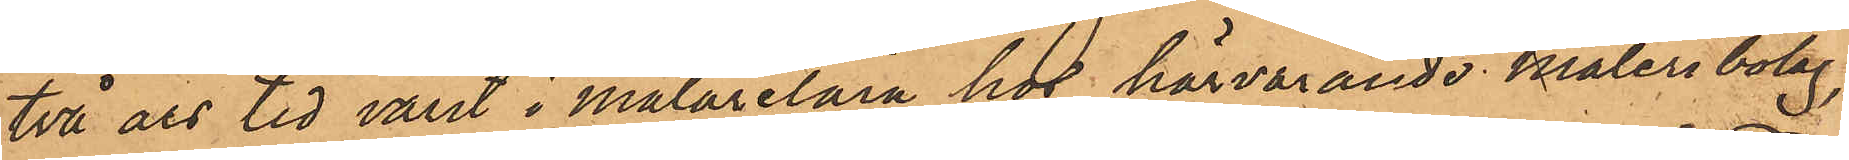två års tid varit i målarelära hos härvarande måleribolag
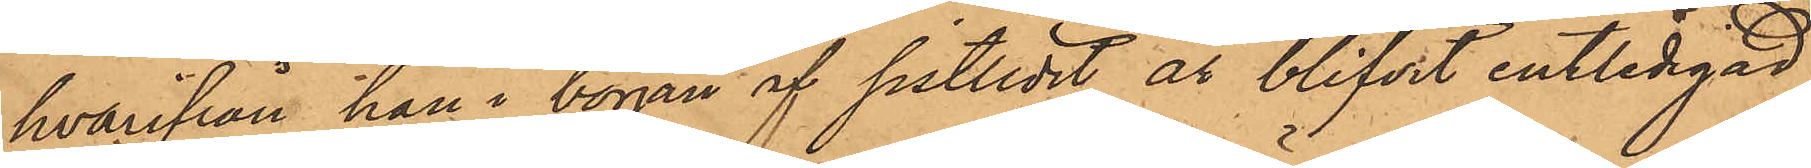hvarifrån han i början af sistlidet år blifvit entlidigad
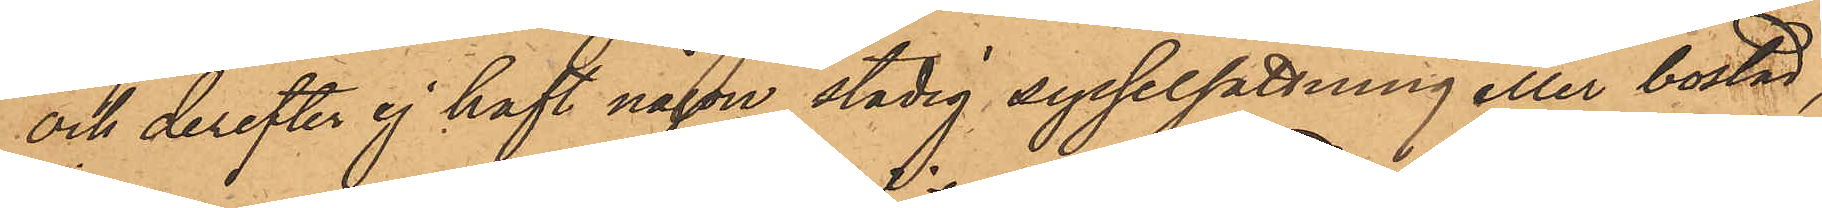och derefter ej haft någon stadig sysselsättning eller bostad,
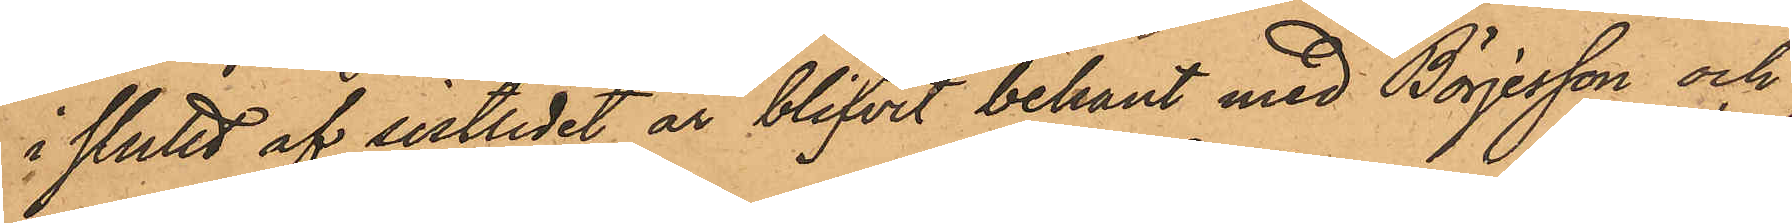i slutet af sistlidet år blifvit bekant med Börjesson och
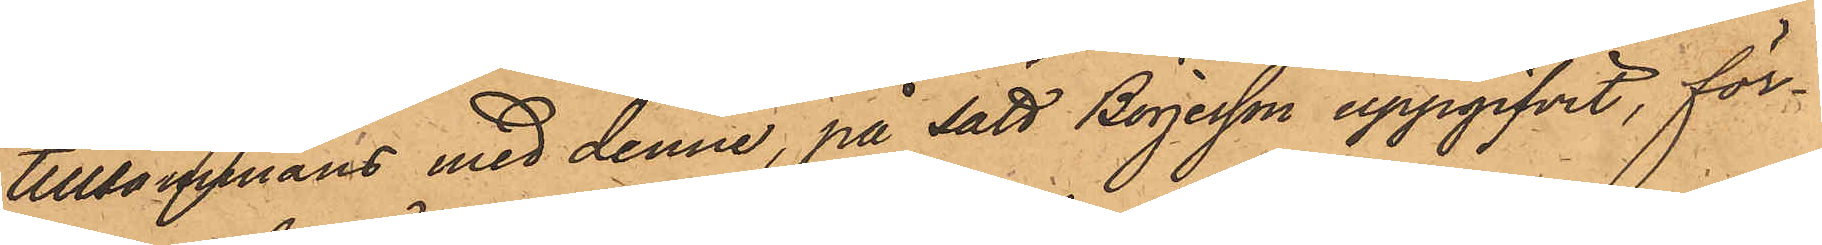tillsammans med denne, på sätt Börjesson uppgifvit, för¬
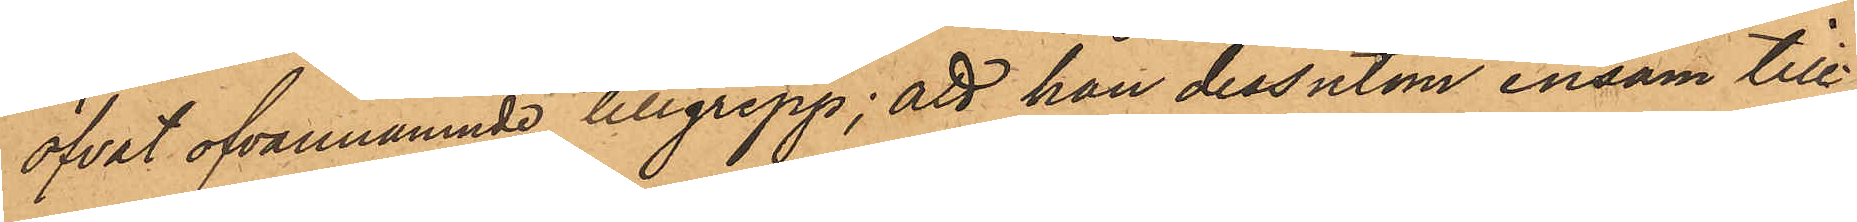öfvat ofvannämnde tillgrepp; att han dessutom ensam till¬
